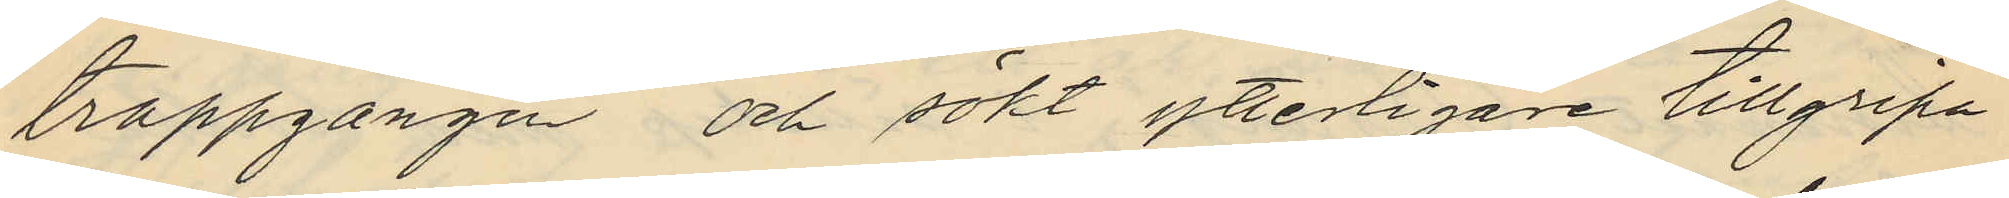trappgången och sökt ytterligare tillgripa
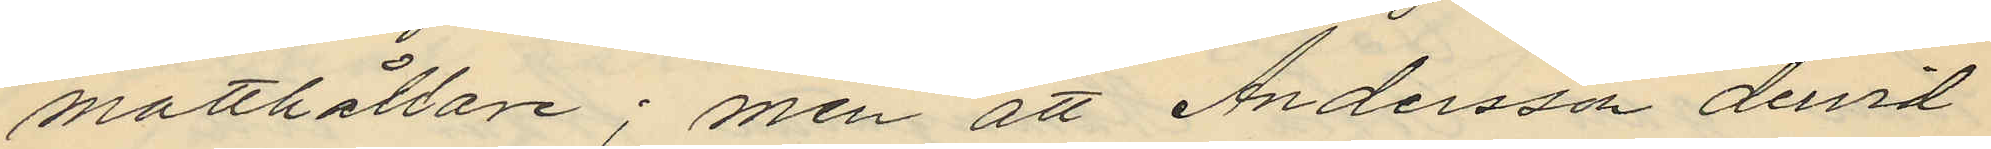matthållare; men att Andersson dervid
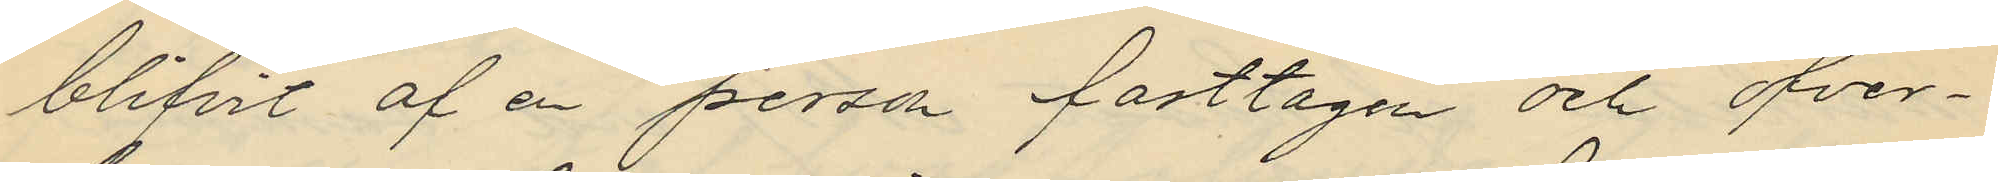blifvit af en person fasttagen och öfver¬
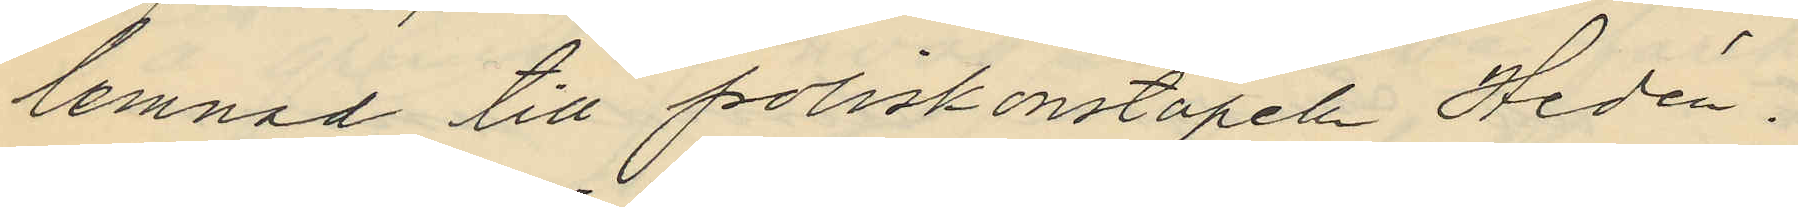lemnad till poliskonstapeln Hedén,
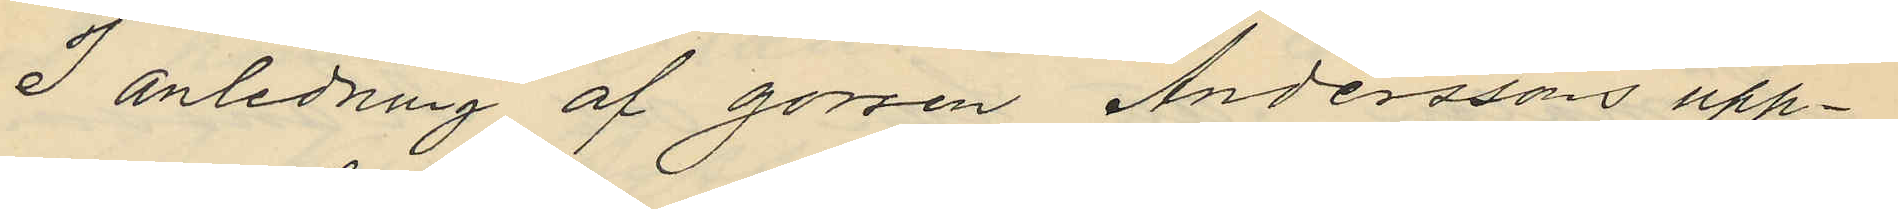I anledning af gossen Anderssons upp¬
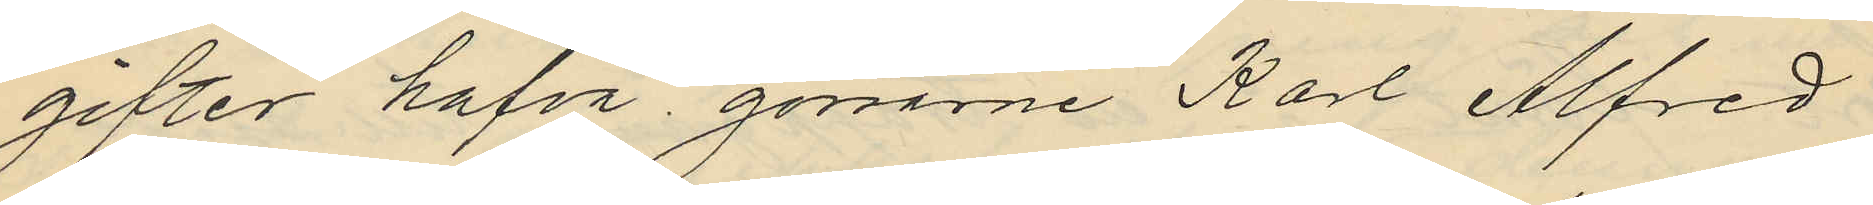gifter hafva gossarne Karl Alfred
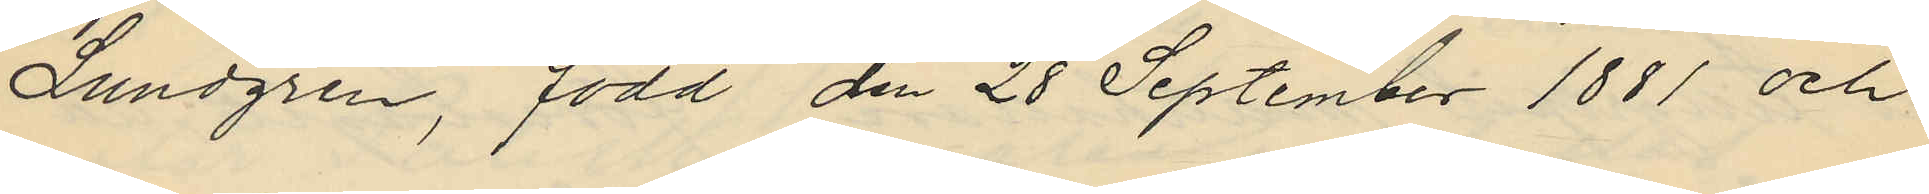Lundgren, född den 28 September 1881 och
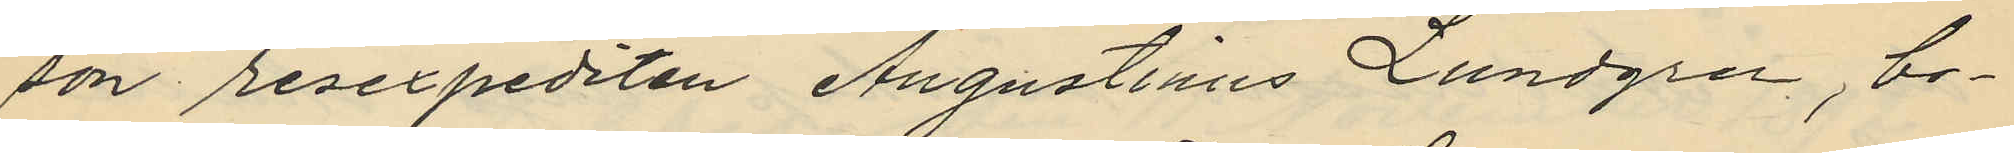son resexpediten Augustinus Lundgren, bo¬
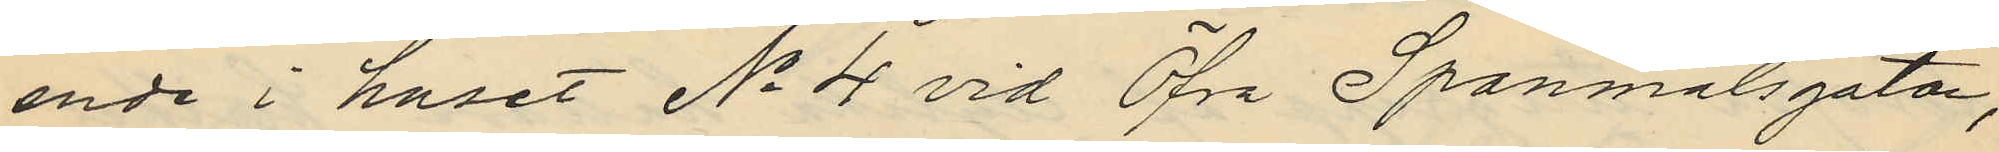ende i huset No 4 vid Öfra Spannmålsgatan,
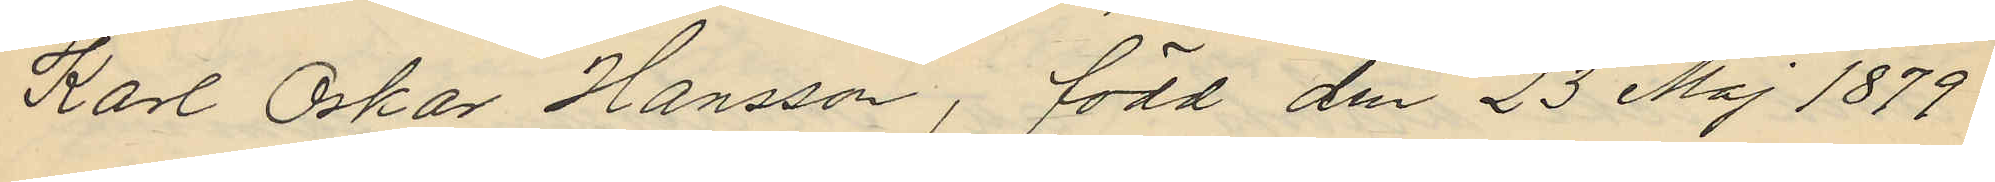Karl Oskar Hansson, född den 23 Maj 1879
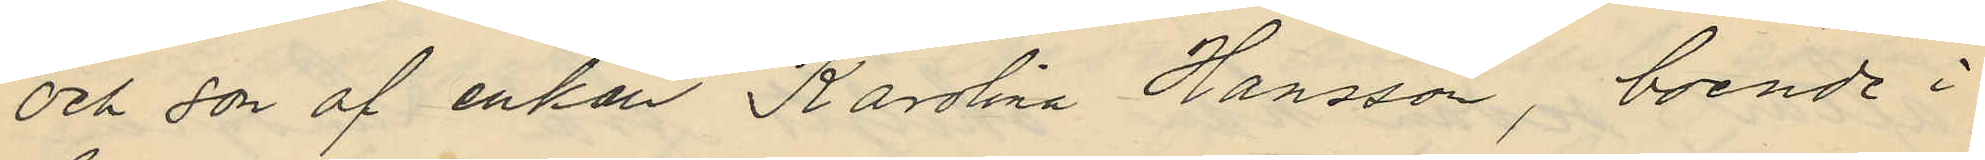och don af enkan Karolina Hansson, boende i
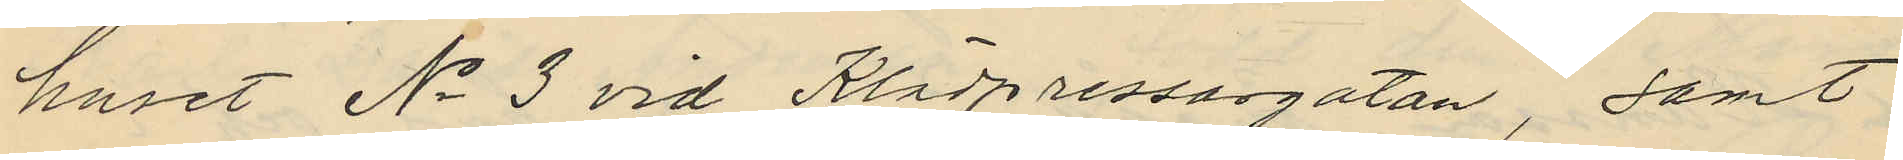huset No 3 vid Klädpressargatan, samt
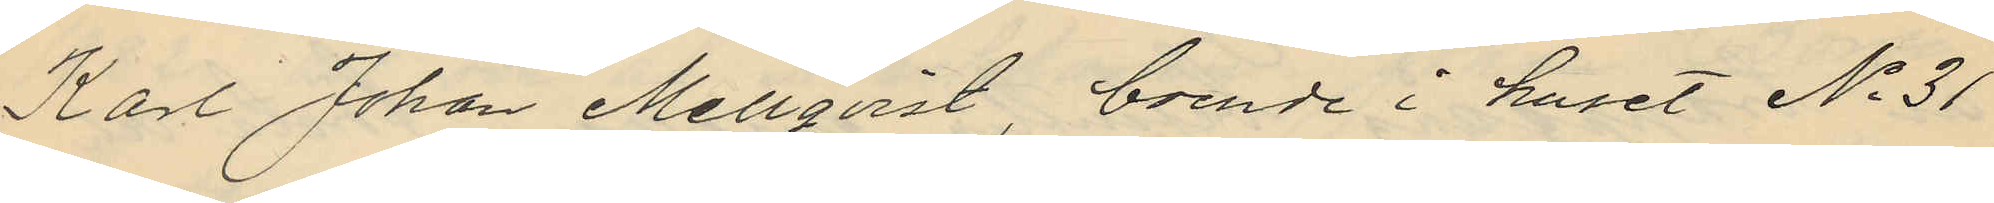Karl Johan Mellqvist, boende i huset No 31
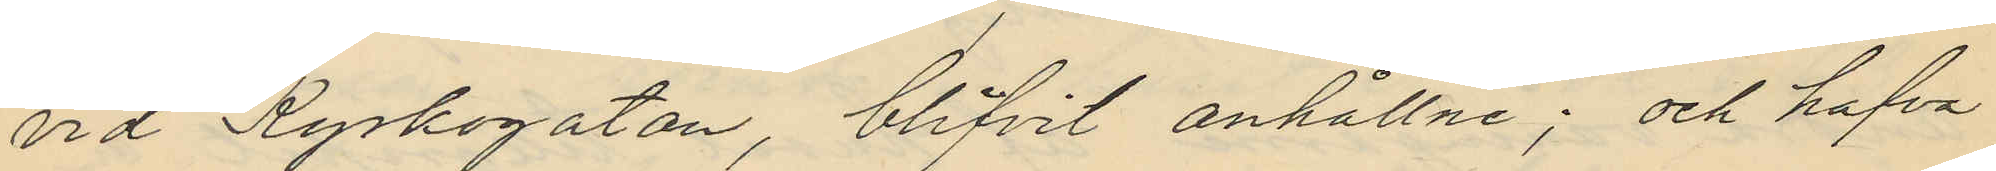vid Kyrkogatan, blifvit anhållne; och hafva
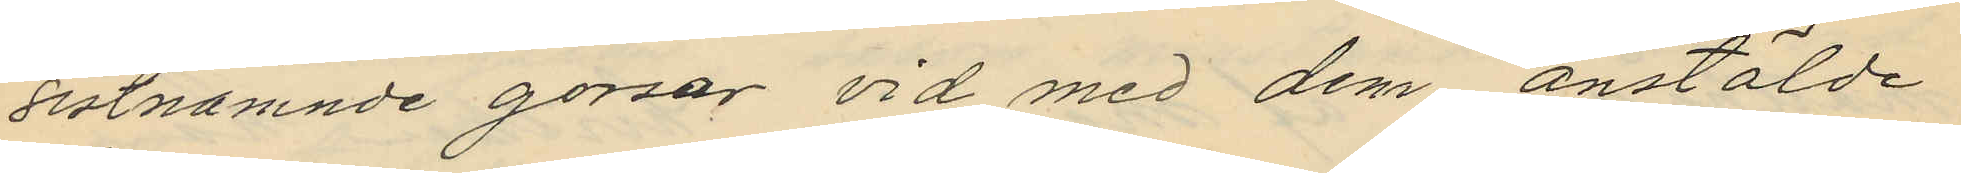sistnämnde gossar vid med dem anstälde
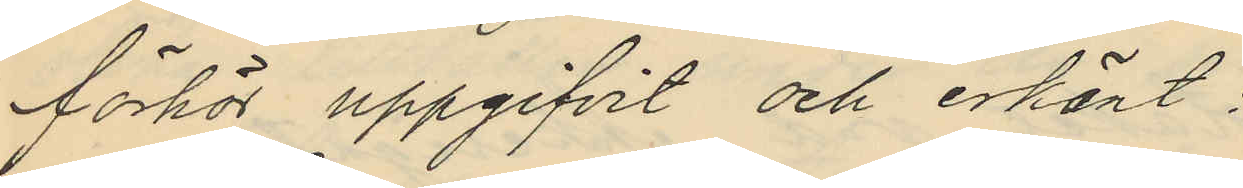förhör uppgifvit och erkänt.
